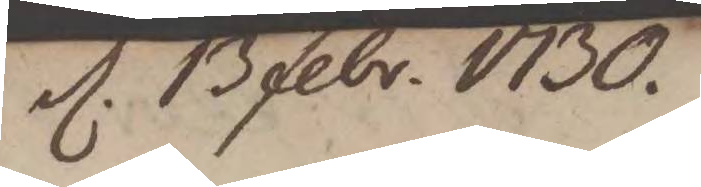d. 13 febr. 1730.
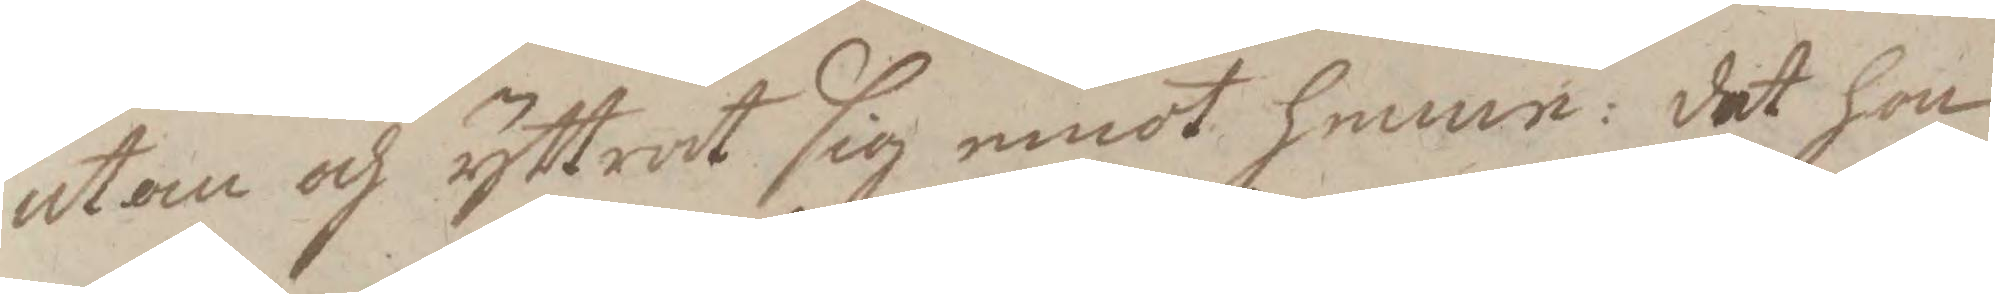utan och yttrat sig emot henne: det hon
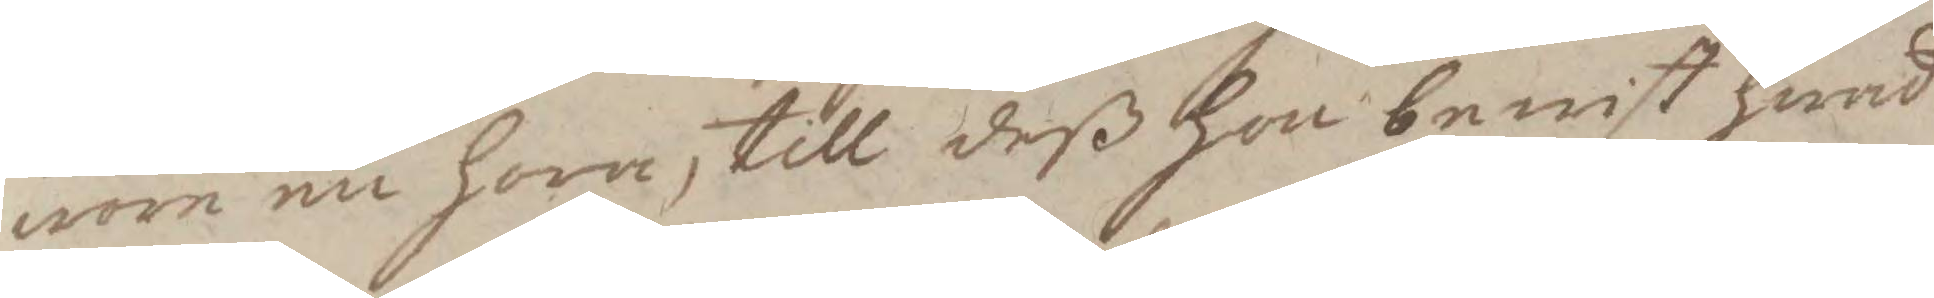wore en hora, till deß hon bewist hwad
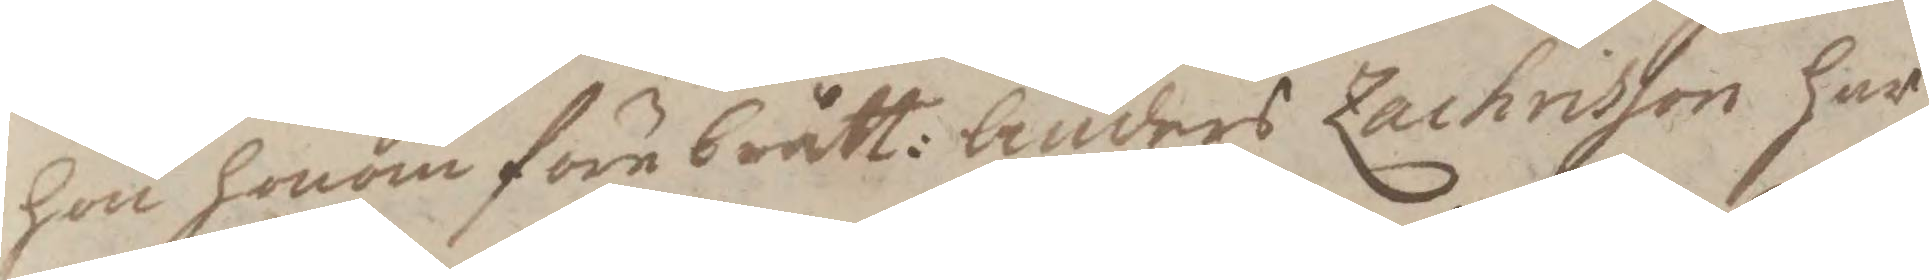hon honom förebrått: Anders Zachrisson har
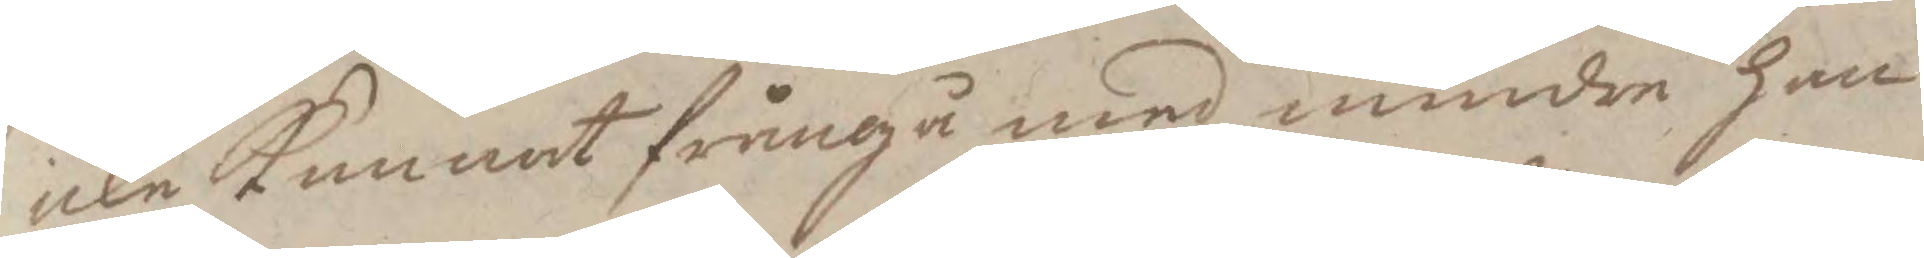icke Kunnat frångå med mindre han
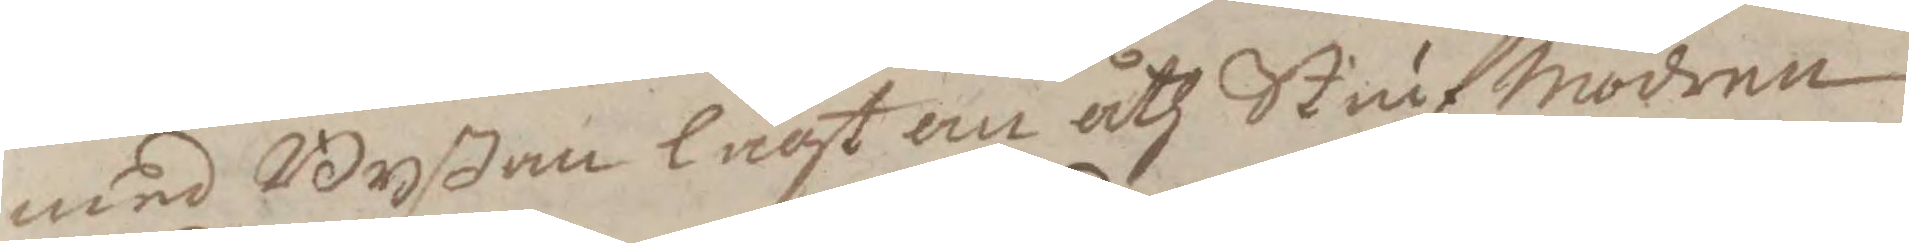med Byßan lagt an åth StiufModern,
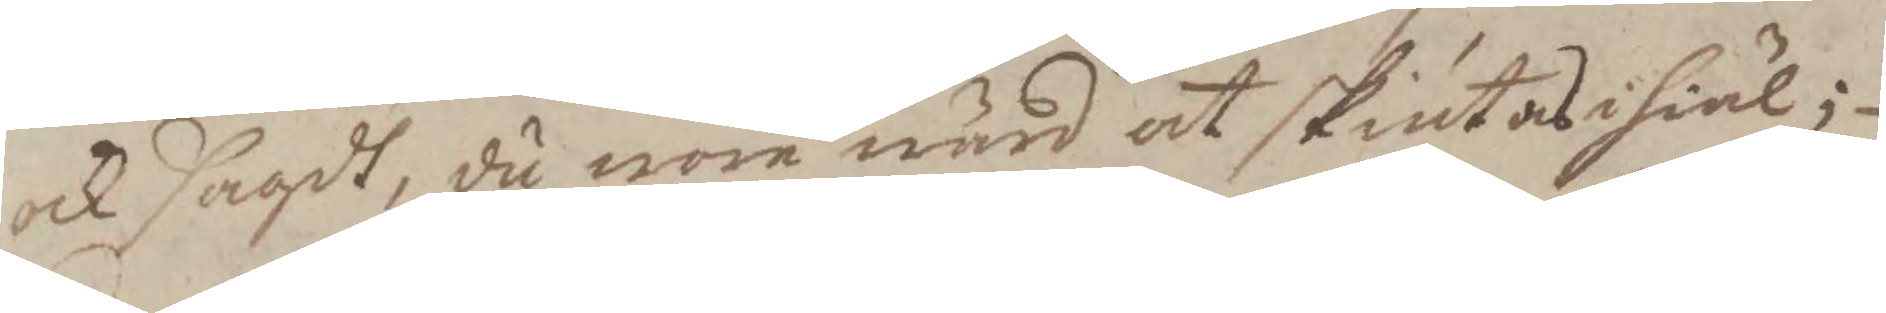och sagdt, du wore wärd at skiutas ihiäl
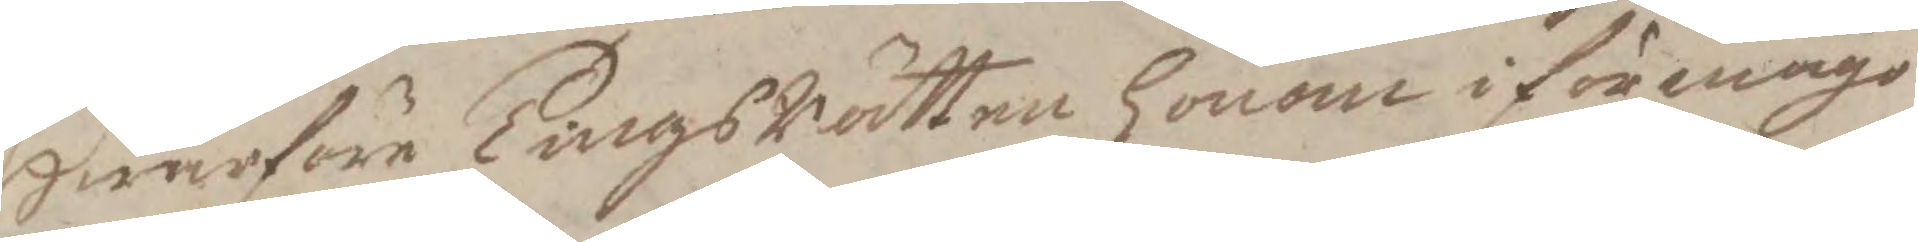Hwarföre TingsRätten honom i förmågo
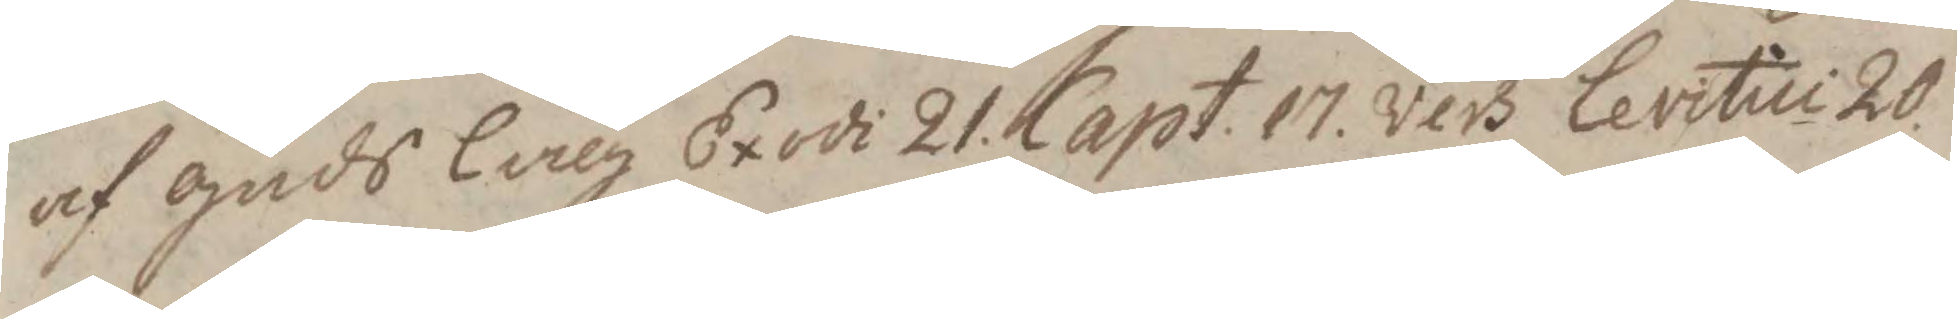af guds laeg Exodi 21 Capt. 17. vers Levitiu 20
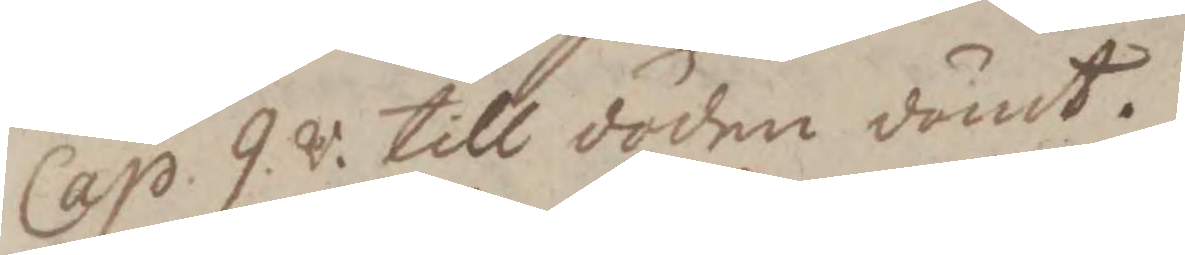Cap. 9. v. till döden dömt.
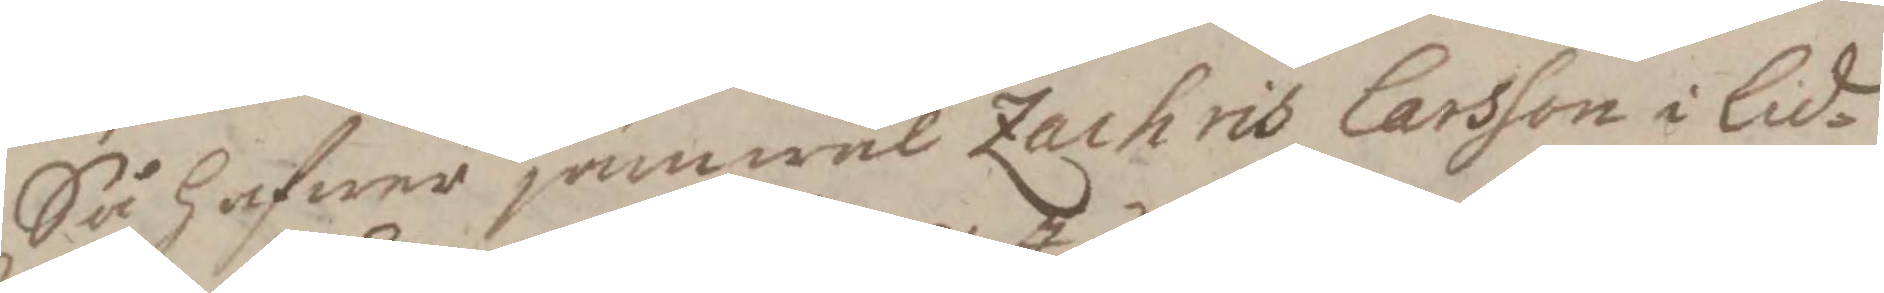Så hafwer jämwäl Zachris larsson i Lid¬
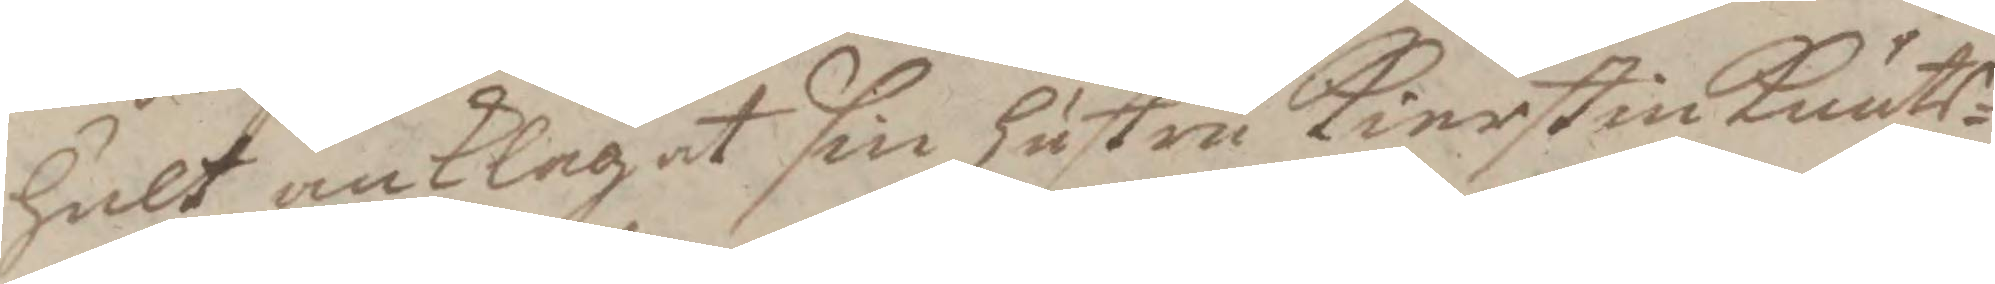hult anklagat sin hustru Kierstin Knuts¬
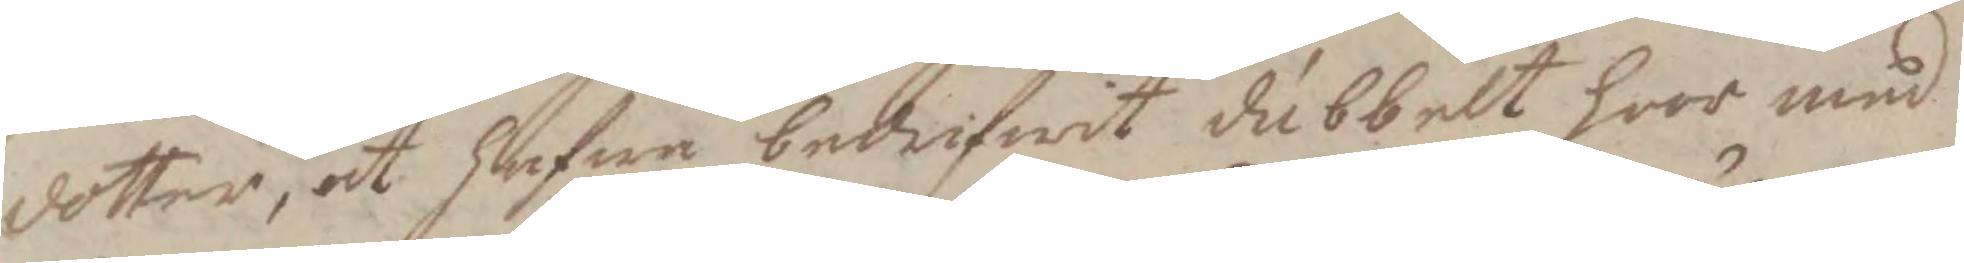dotter, at hafwa bedrifwit dubbelt hoor med
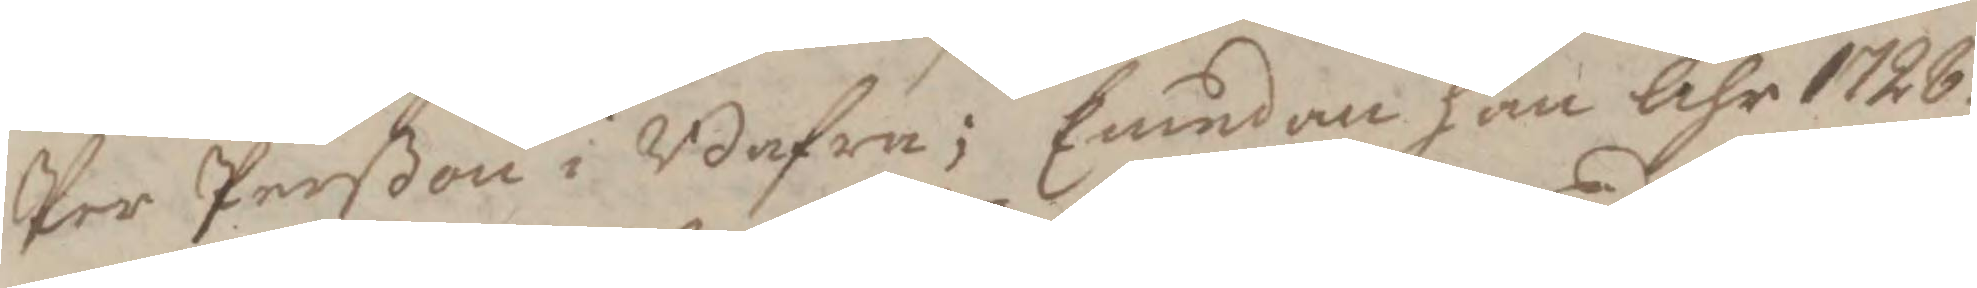Per Perßon i Bafra; Emedan han Åhr 1728.
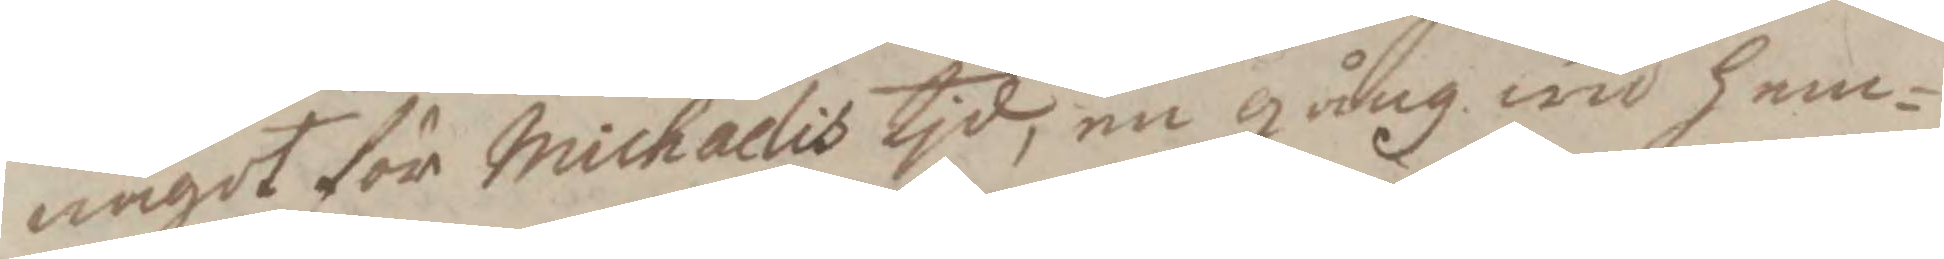något dör Michaelis tid, en gång wid hem¬
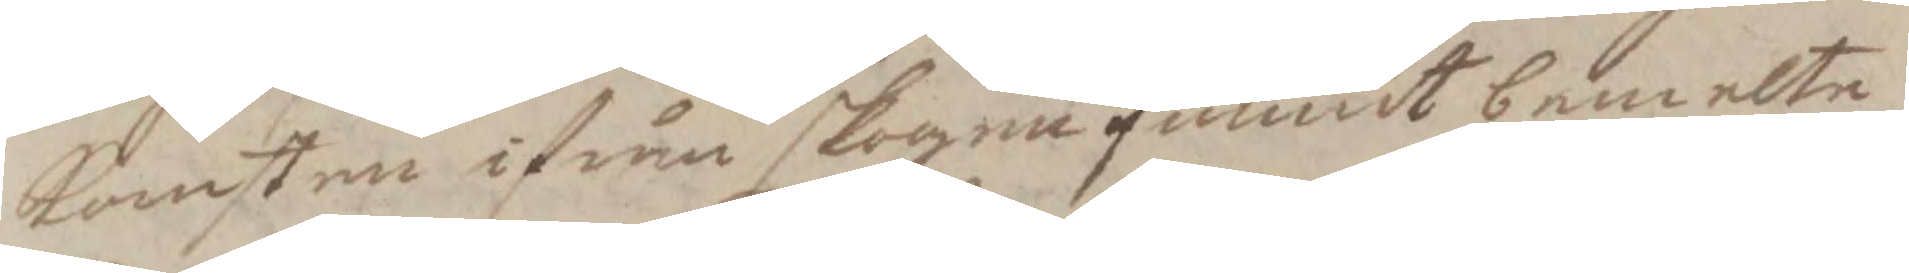komsten ifrån skogen funnit bemelte
